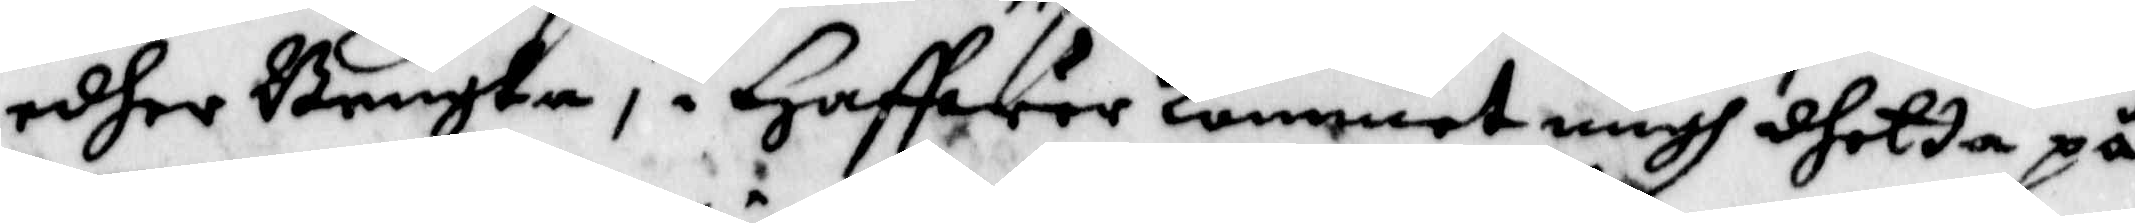edher Bengta, i Haffwer kommet migh dhetta på
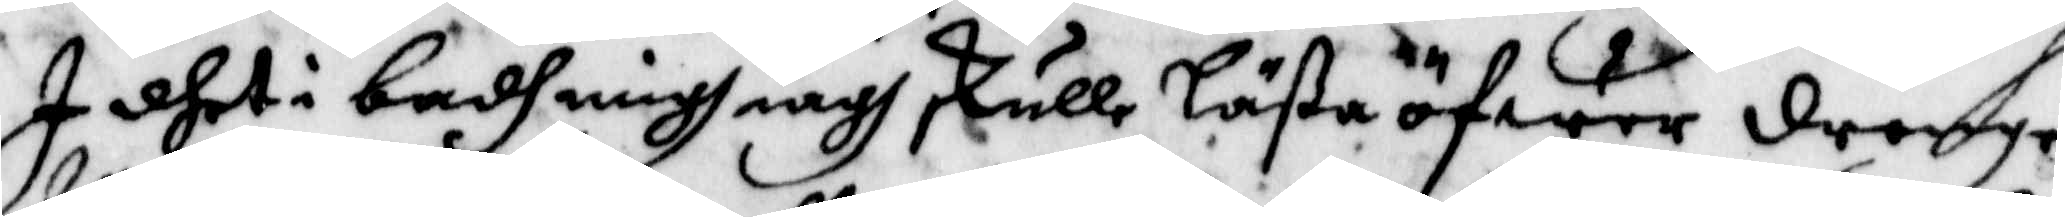I dhet i badh migh iagh skulle Läßa öfwer drengen
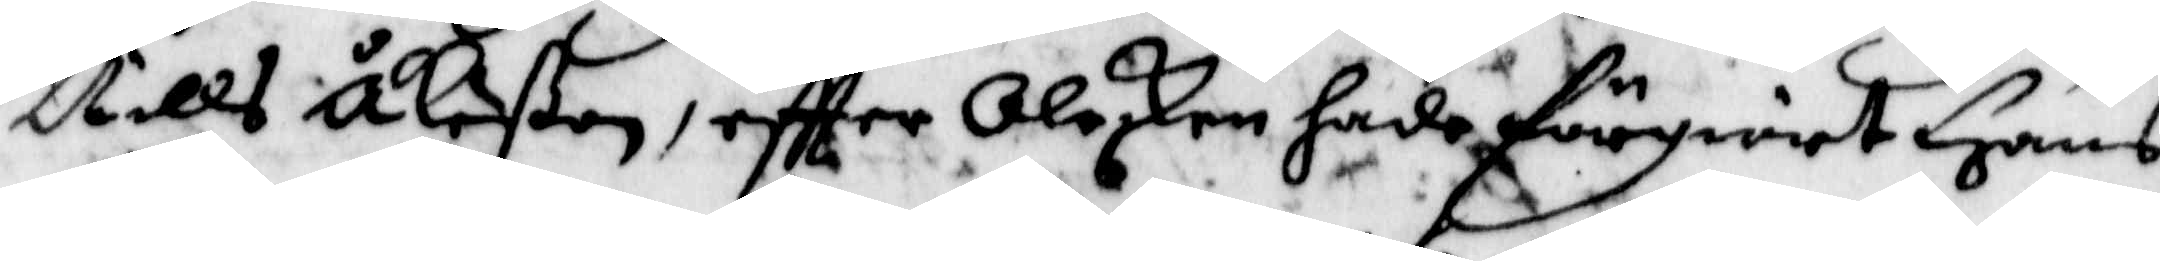Nills Åkeßon, eftter Oleskan hade förgiort Hans
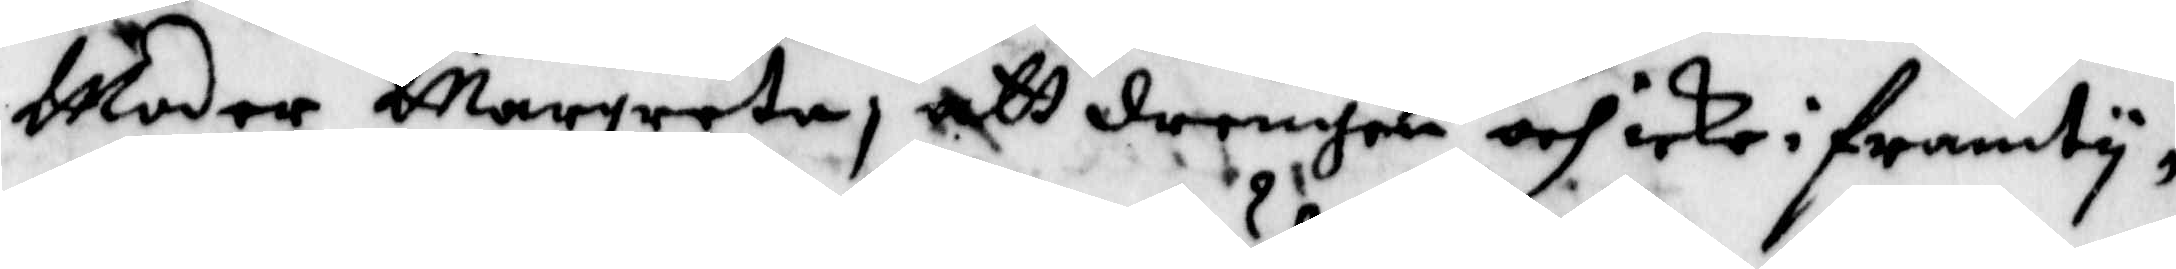Moder Margreta, att drengen och icke i framty¬
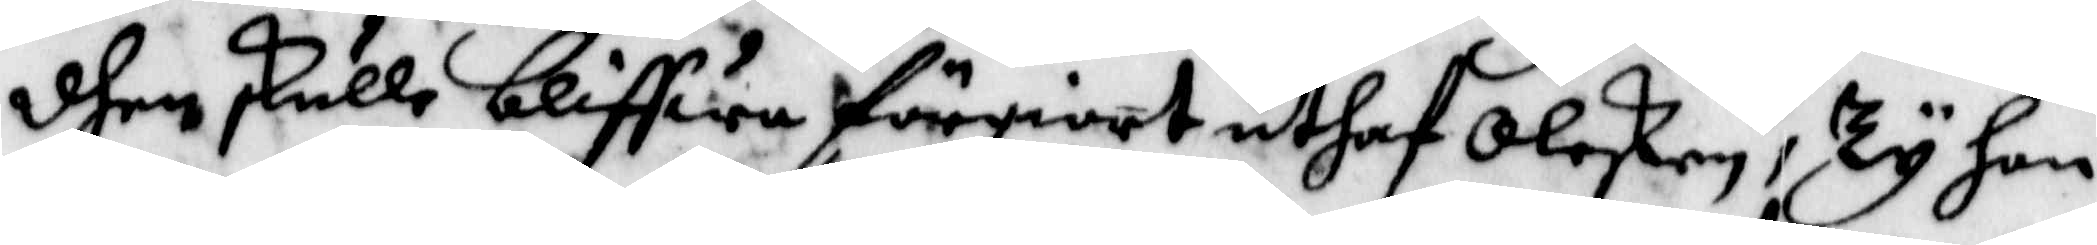dhen skulle bliffwa förgiort uthaf Oleskan, Ty hon
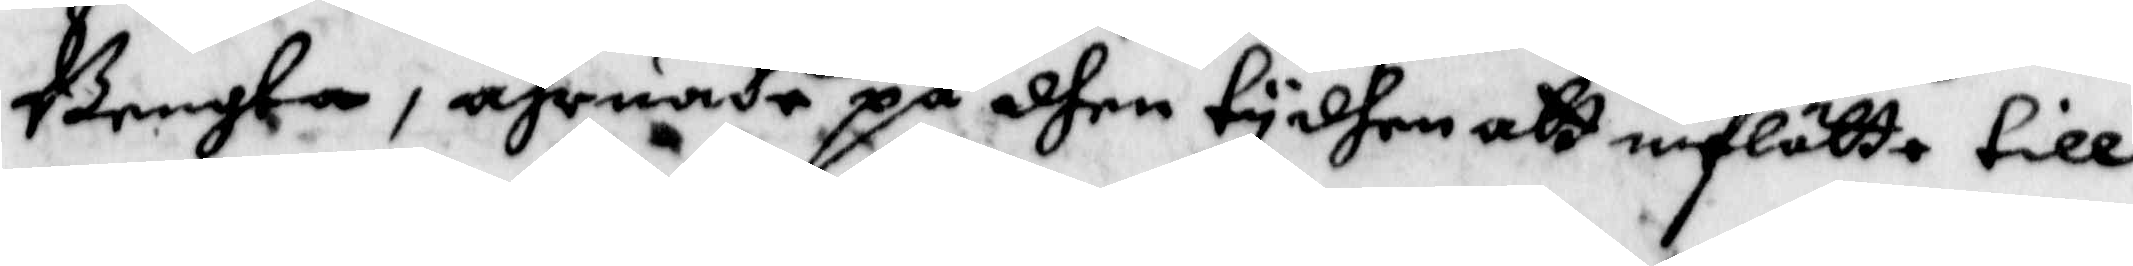Bengta, ährnade på dhen tyden att inFlötta till
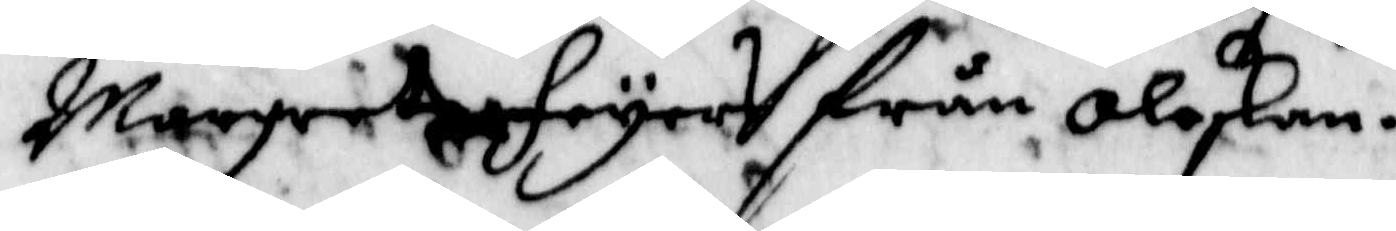Margreta Feyers från Oleskan.
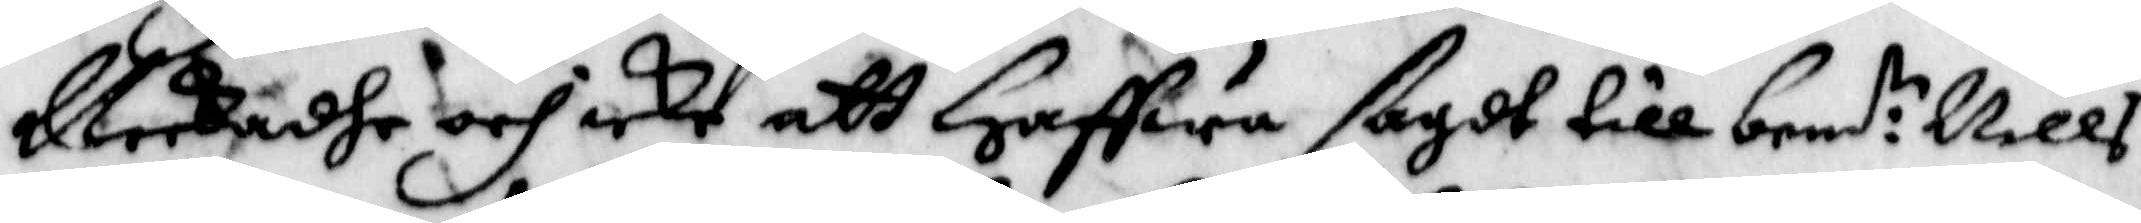Neekade och icke att Haffwa ßagdt till bend:te Nills
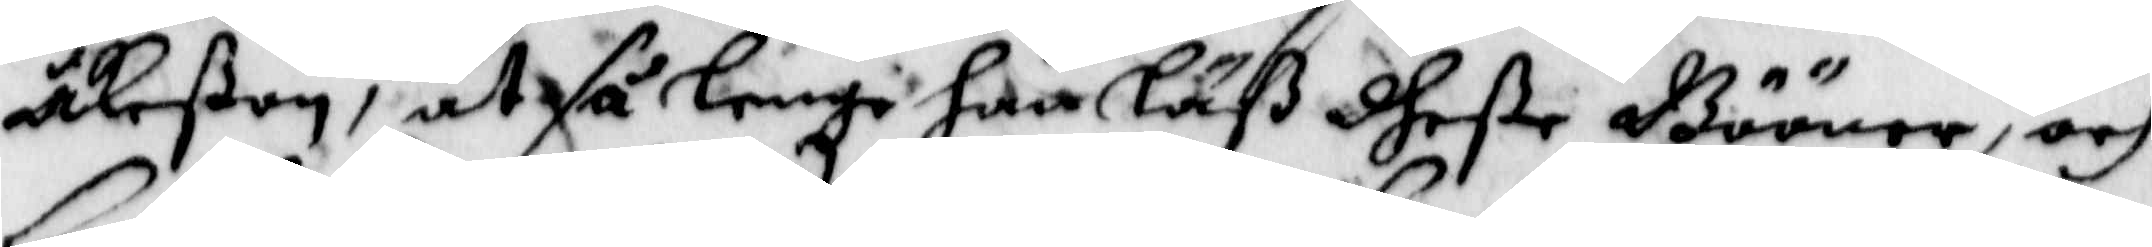Åkeßon, at så lenge han Läß dheße Bööner, och
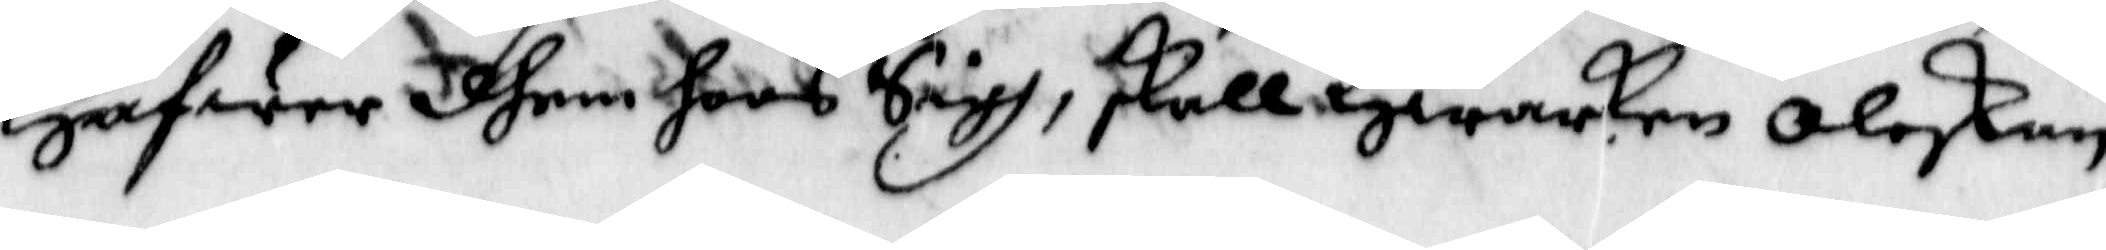Hafwer dhem hoos Sigh, skall Hwarken Oleskan
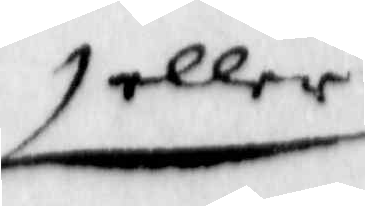eller
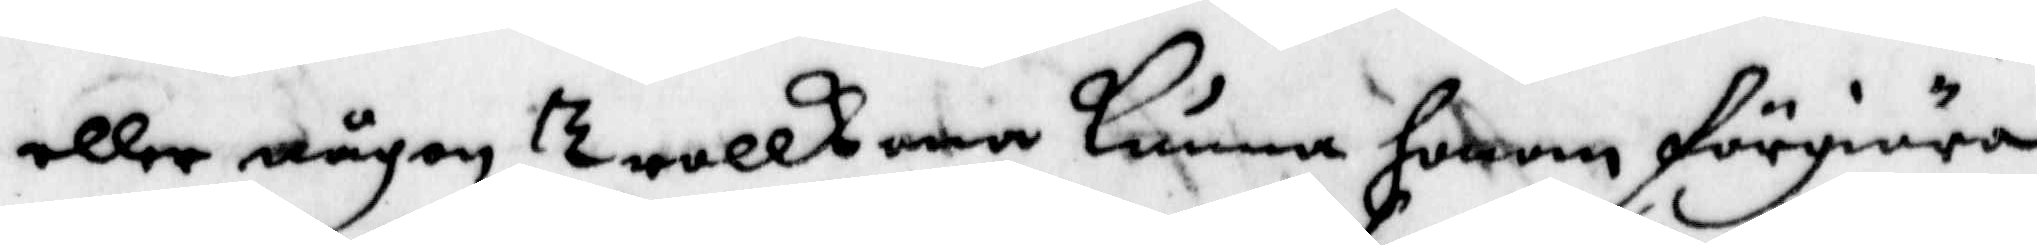eller någon Trullkona kunna honom förgiöra
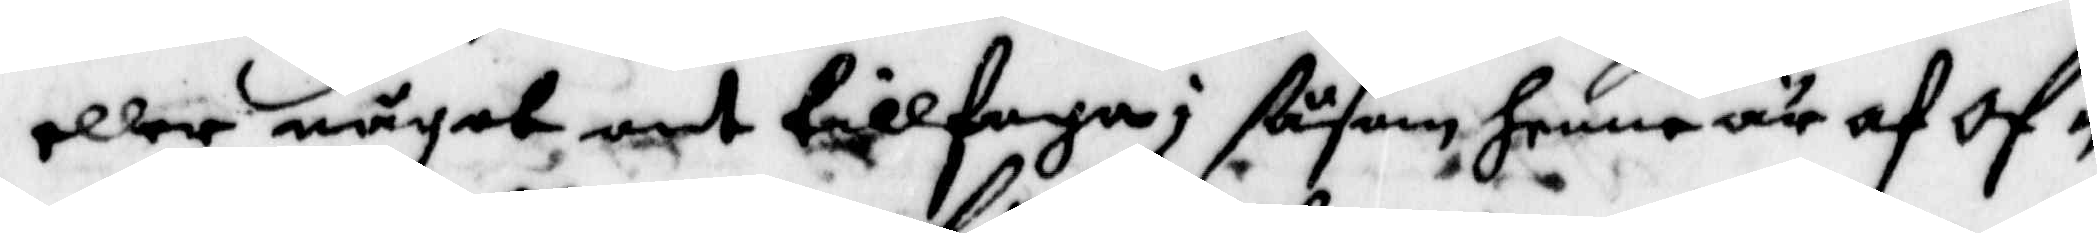eller något ont tillFoga; ßåsom henne är af Of¬
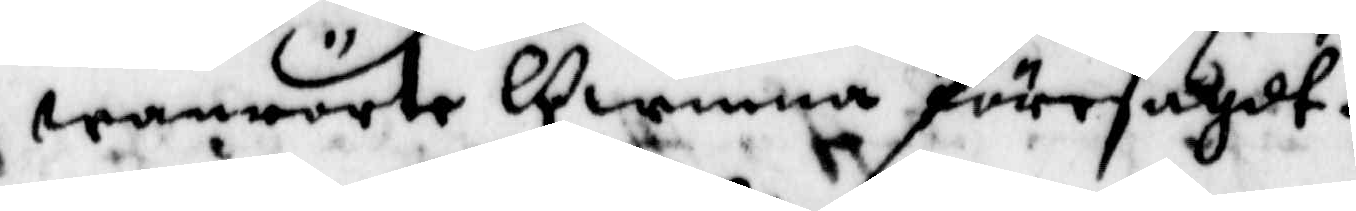wanrörte Qwinna Föresagdt.
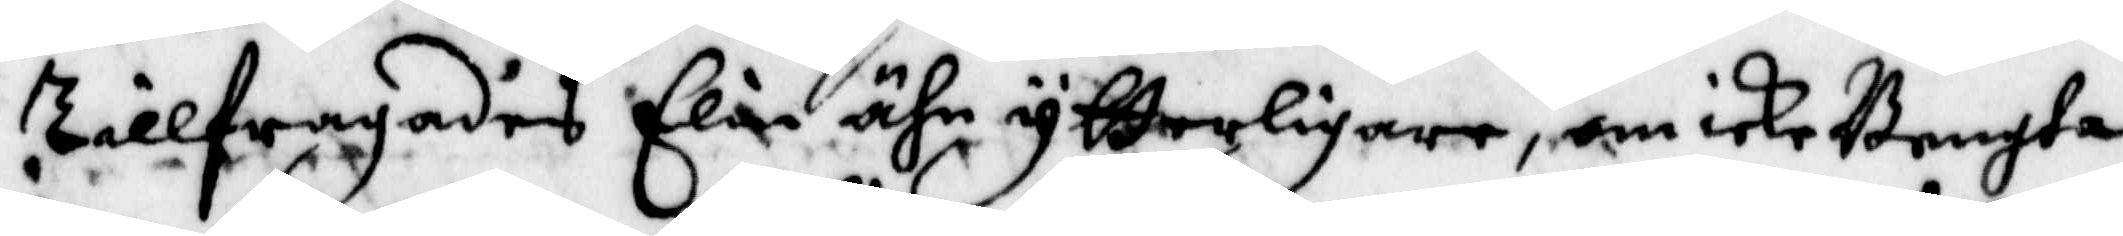TillFragadis Elin ähn ytterligare, om icke Bngta
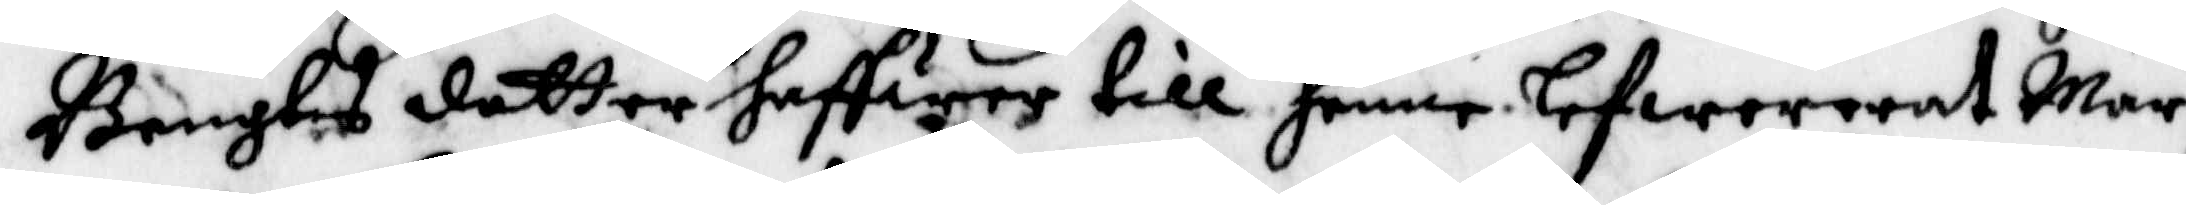Bengtes dotter haffwer till henne lefwererat Mar¬
